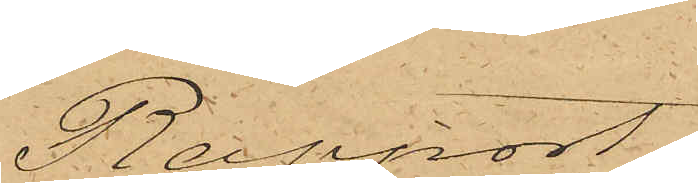Rapport.
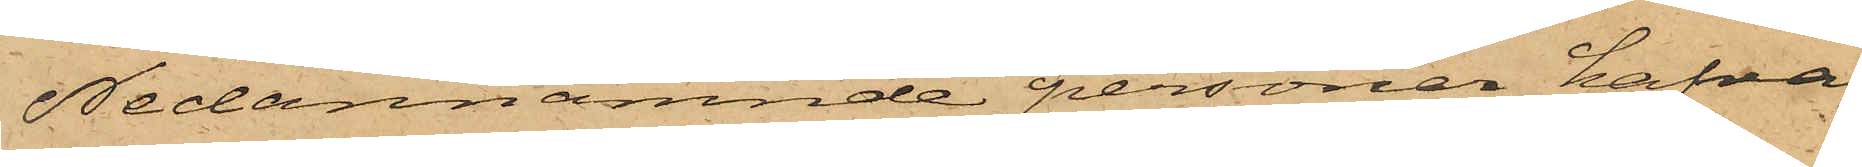Nedannämnde personer hafva
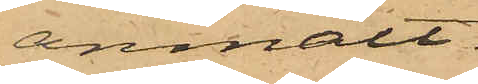anmält:
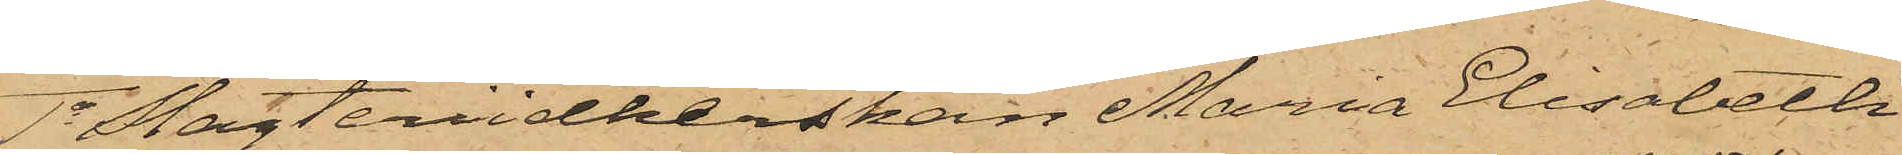1o Slagteriidkerskan Maria Elisabeth
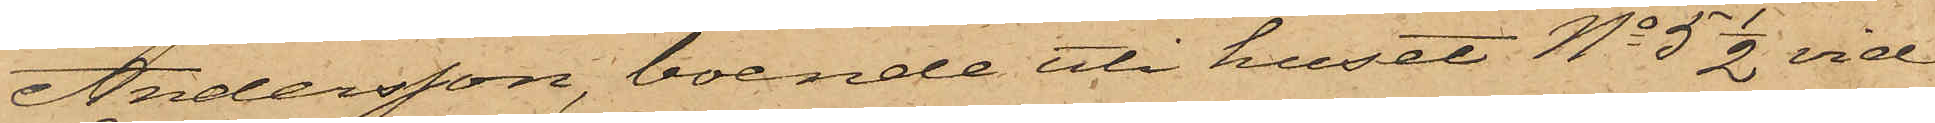Andersson, boende uti huset No 5 1/2 vid
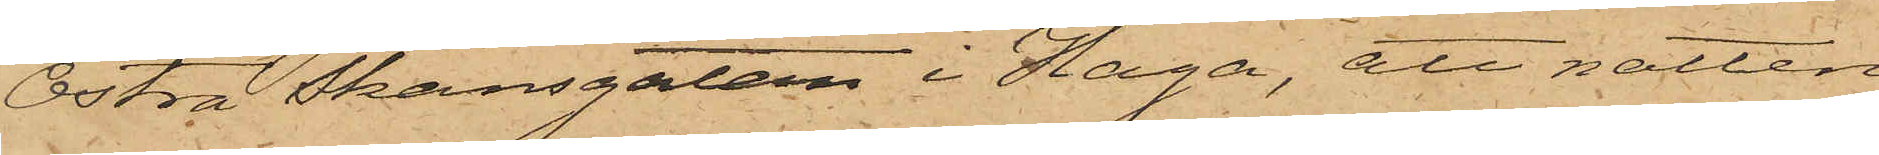Östra Skansgatan i Haga, att natten
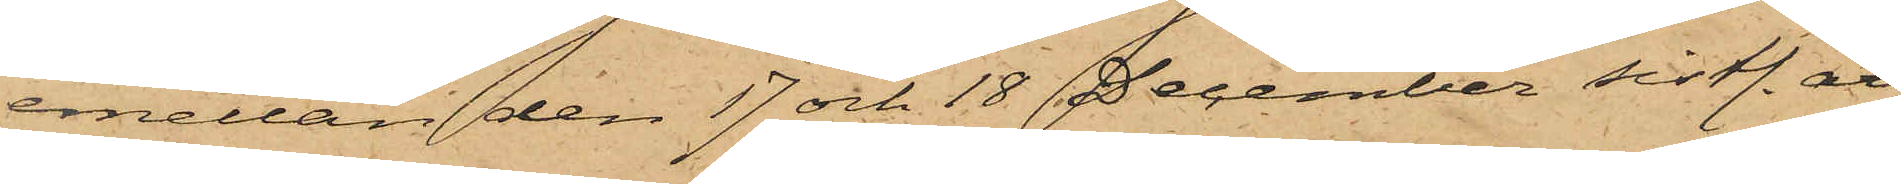emellan den 17 och 18 December sistl. år
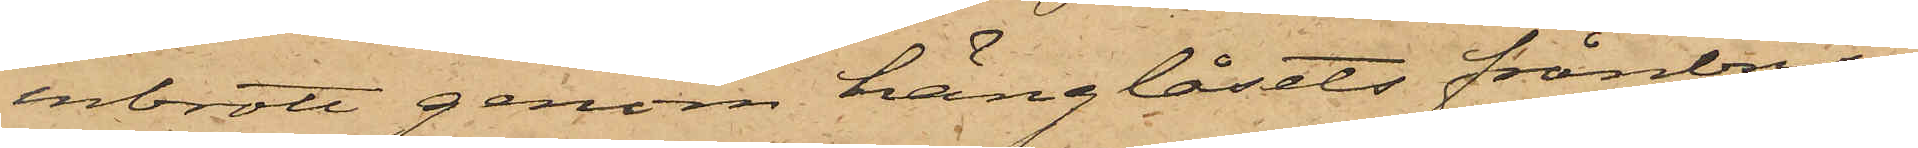inbrott genom hänglåsets frånbry¬
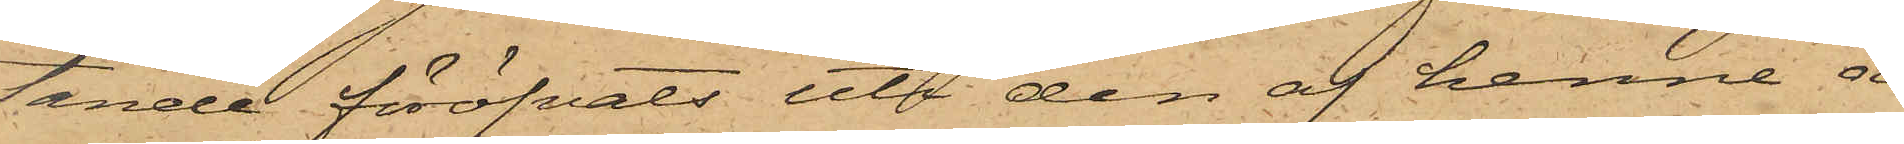tande föröfvats uti den af henne å
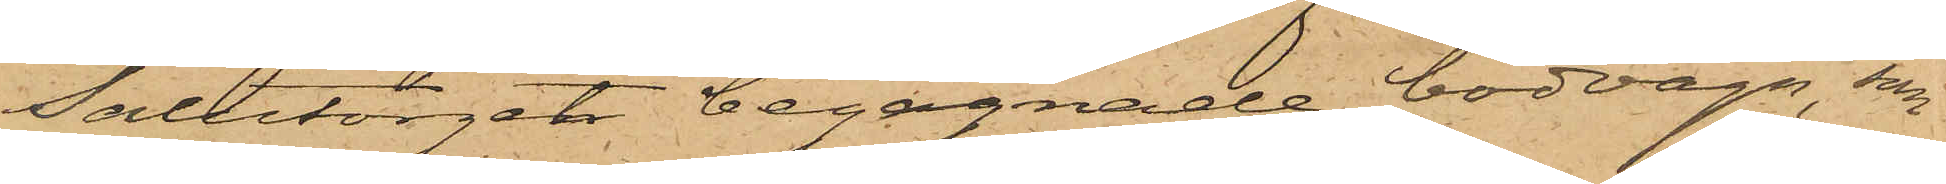Salutorget begagnade bodvagn, som
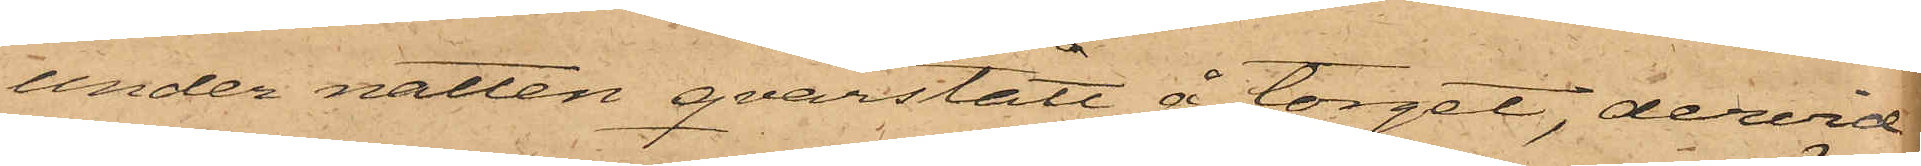under natten qvarstått å torget, dervid
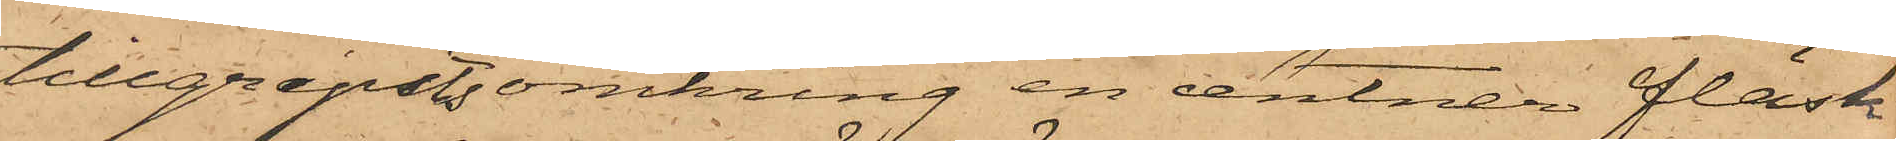tillgripits omkring en centner fläsk
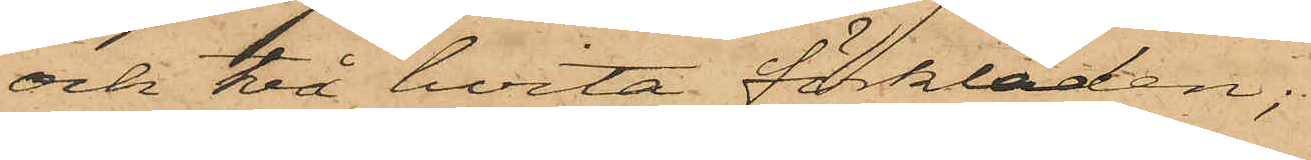och två hvita förkläden;
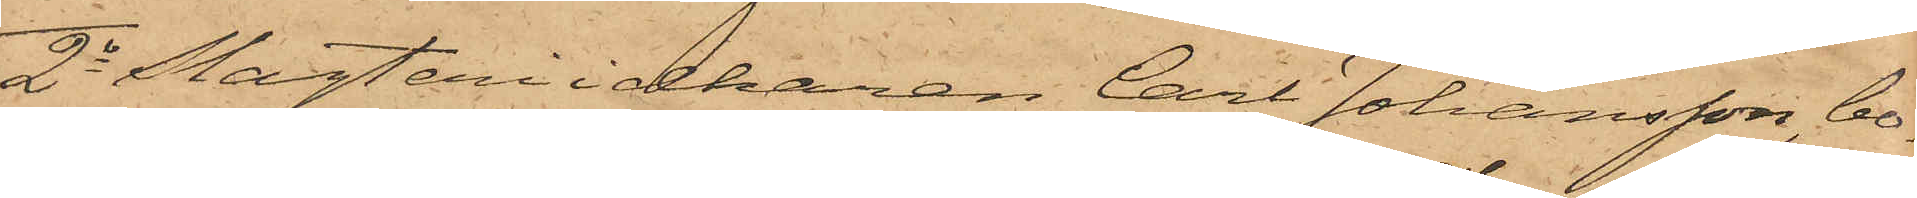2o Slagteriidkaren Carl Johansson, bo¬
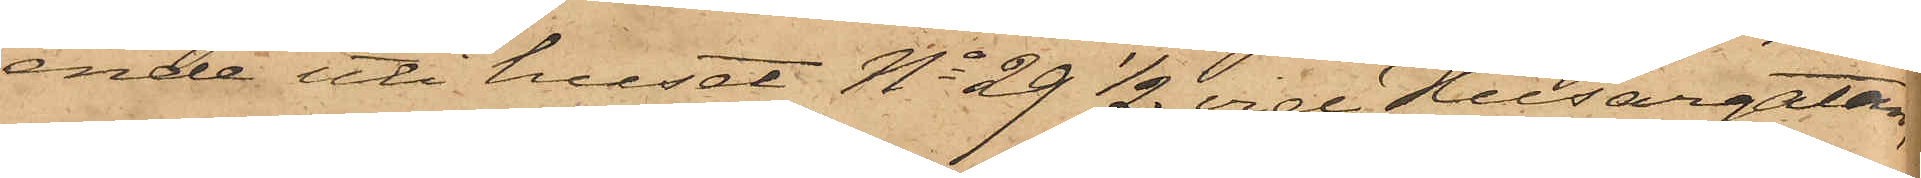ende uti huset No 29 1/2 vid Husargatan,
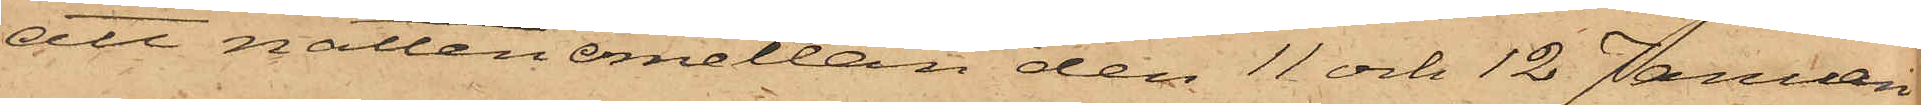att natten emellan den 11 och 12 Januari
